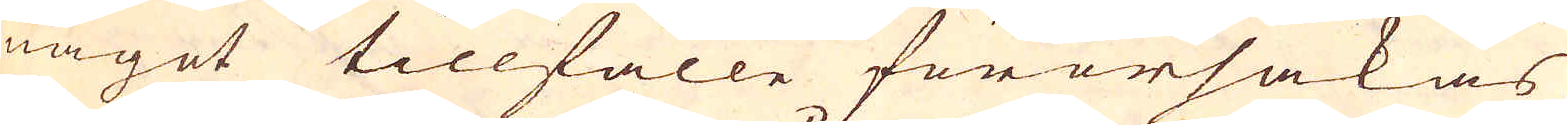något tillfälle förorsakas
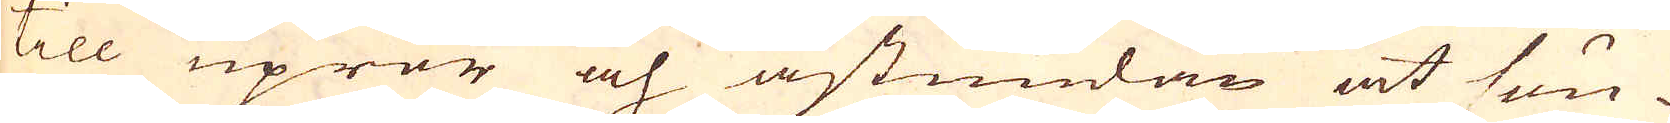till upror och åstundan at sön-
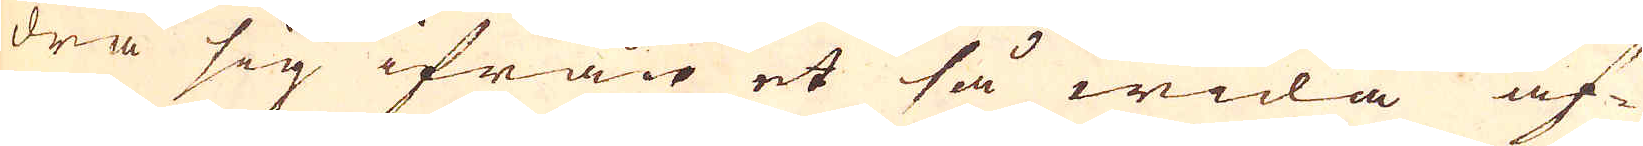dra sig ifrån et så wida af-
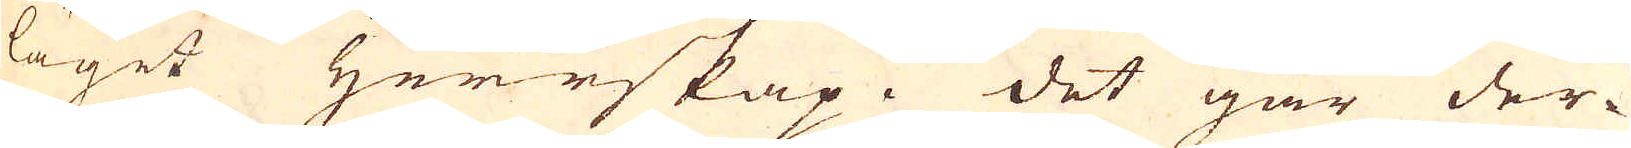läget Herrskap. Det går der-
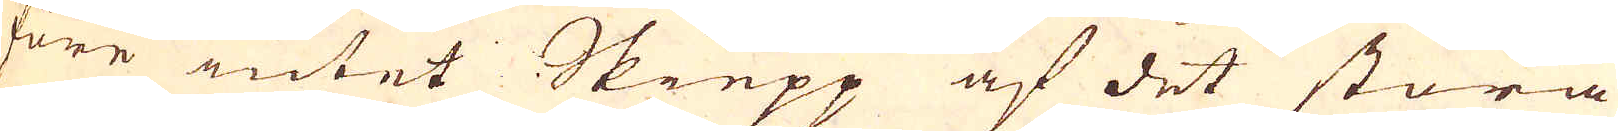före intet Skiepp af det stora
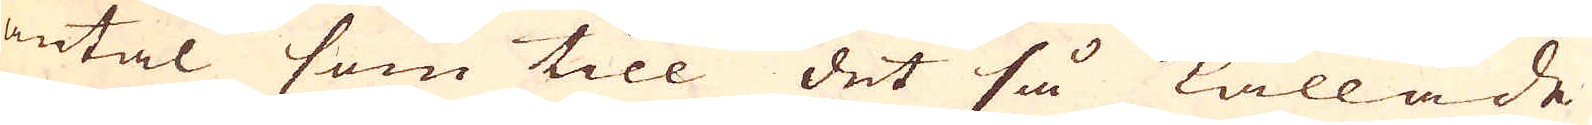antal som till det så kallade
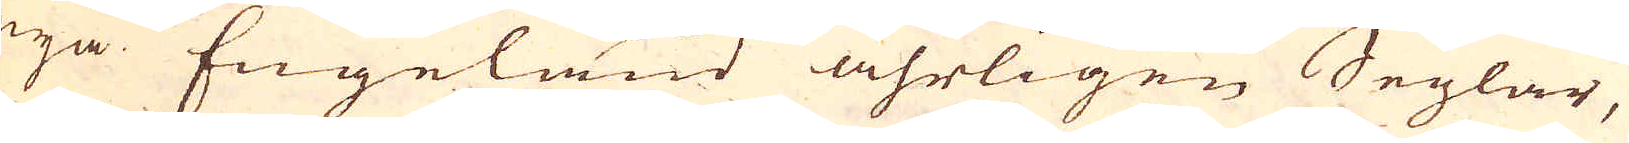nya Engeland åhrligen Seglar,
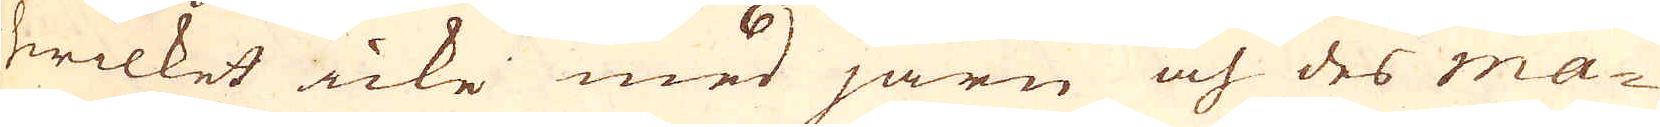hwilket icke med järn och des ma-
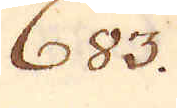683.
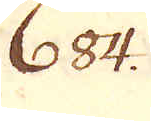684.
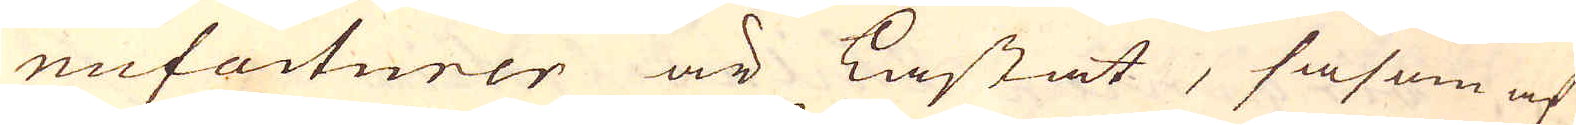nufacturer är kastat, såsom af
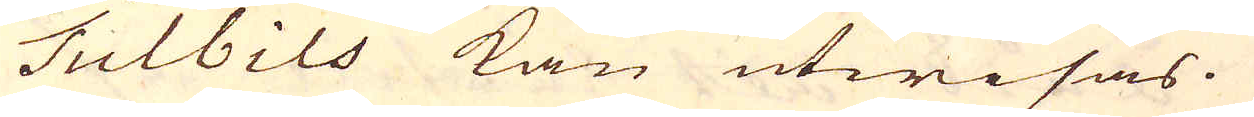Tulbils kan utwisas.
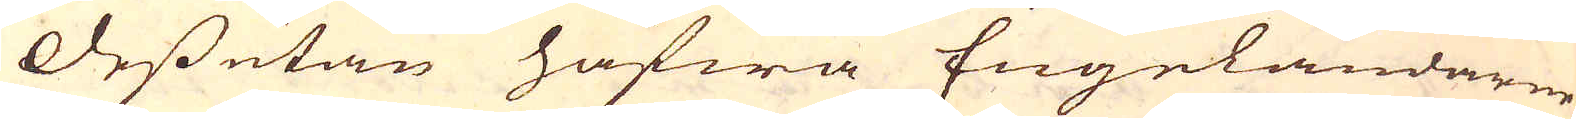Dessutan hafwa Engeländarne
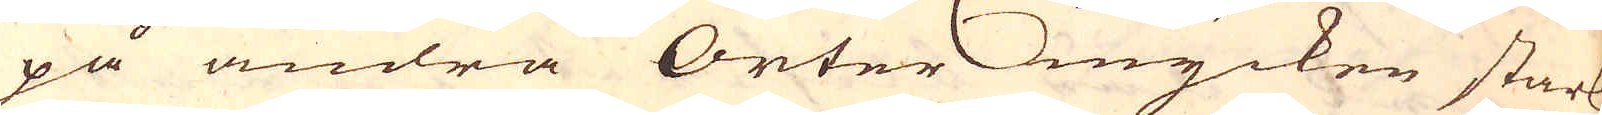på andra Orter mycken stark
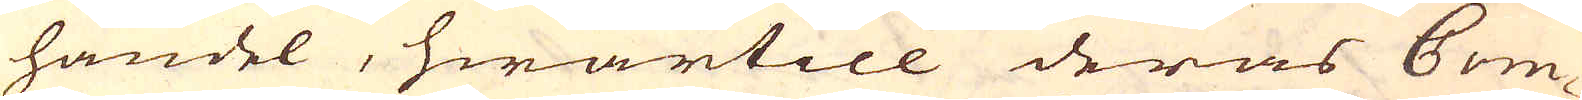handel, hwartill deras Com-
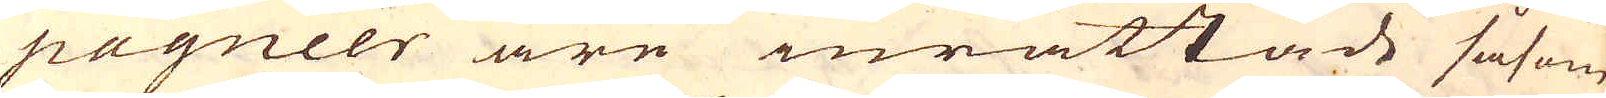pagnier äre inrättade såsom
